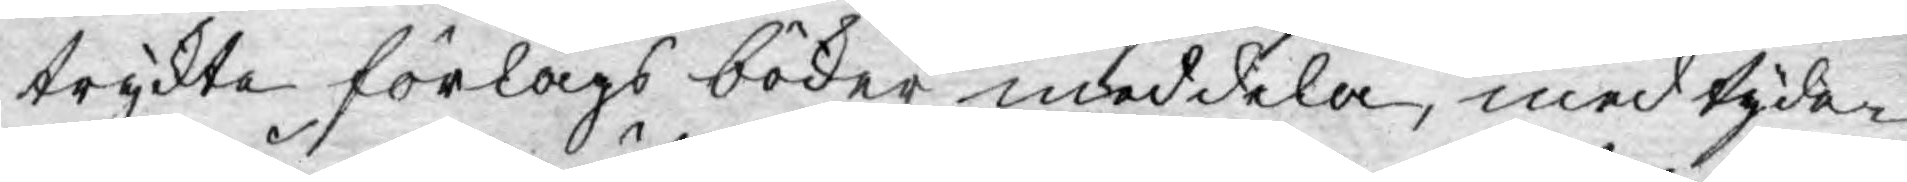tryckte förlags böcker meddela, med tyder¬
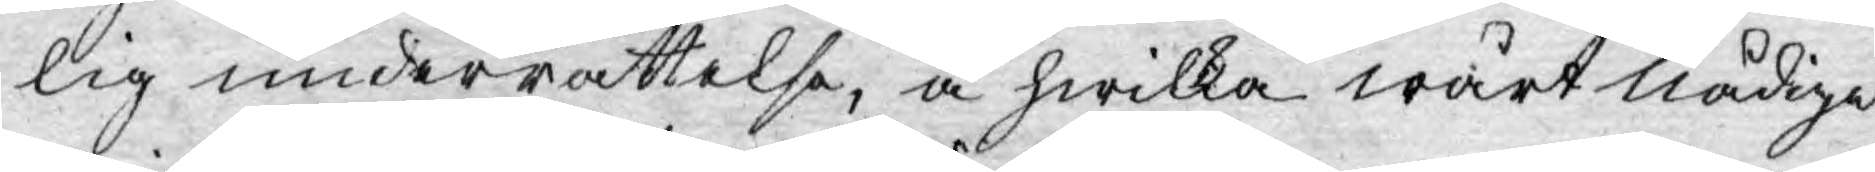lig underrättelse, å hwilka wårt nådiga
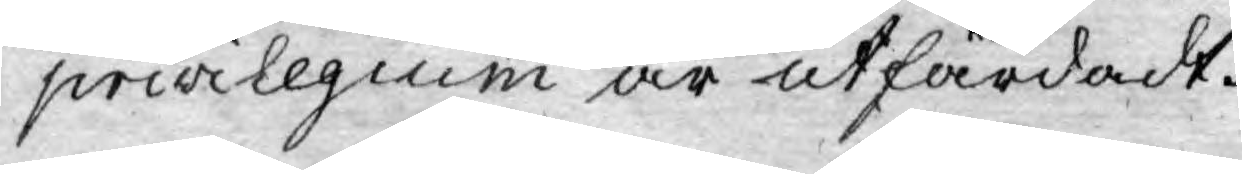privilegium är utfärdadt.
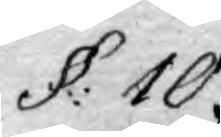§: 10.
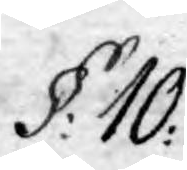§: 10.
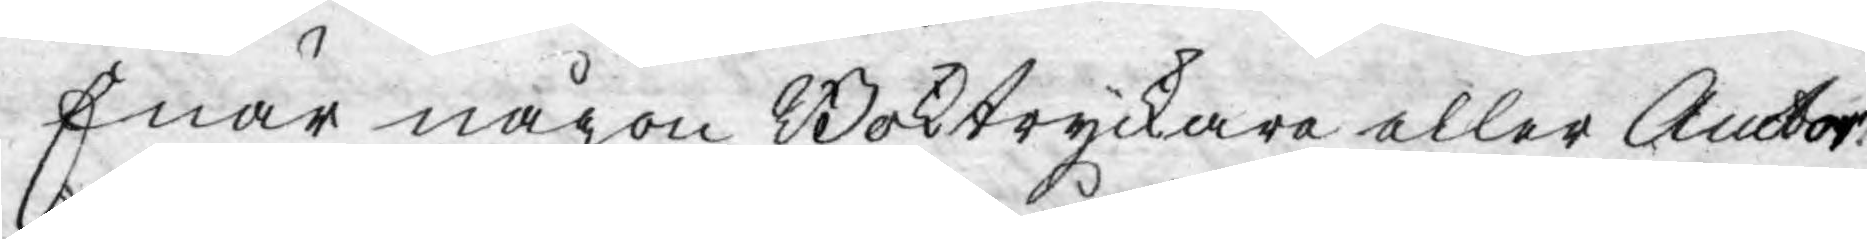Enär någon Boktryckare eller Actor
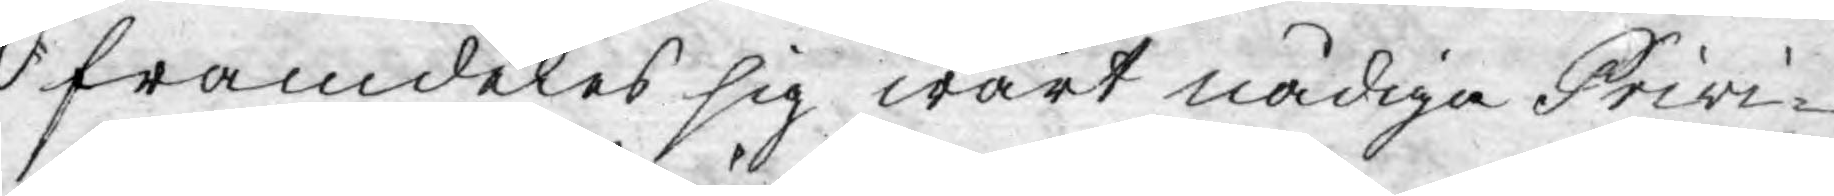framdeles sig wårt nådiga Privi¬
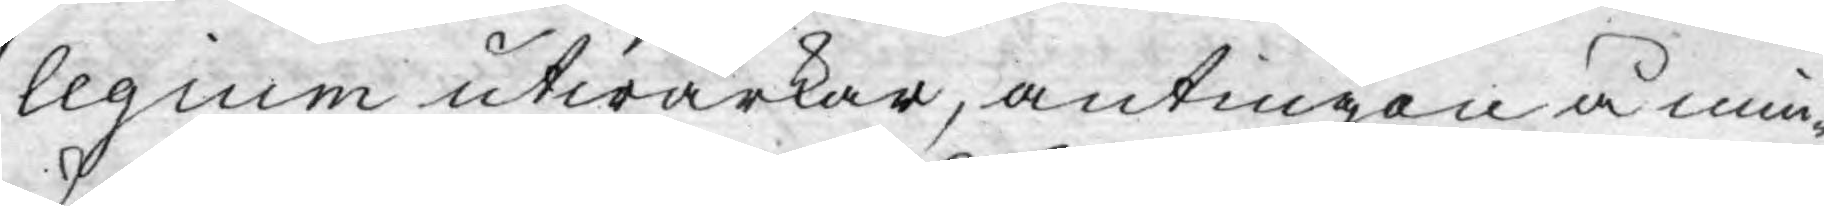legium utwärkar, antingen å min¬
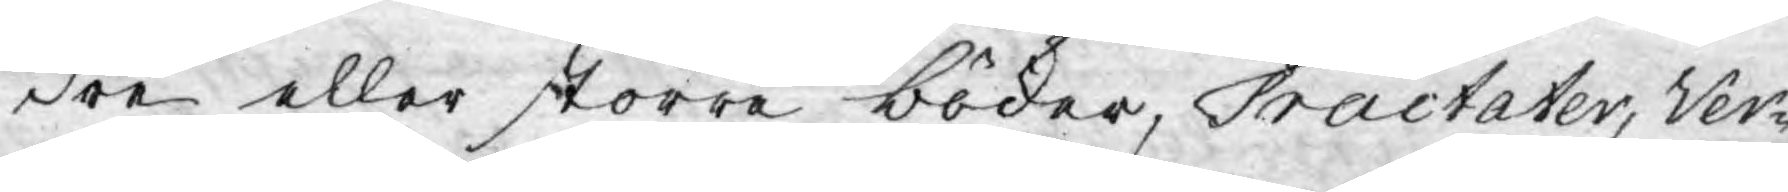dre eller större böcker, Tractater, Ver¬
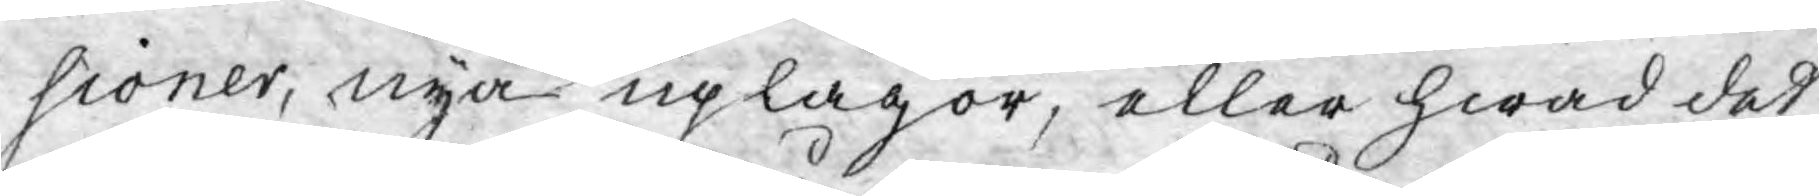sioner, nya uplagor, eller hwad det
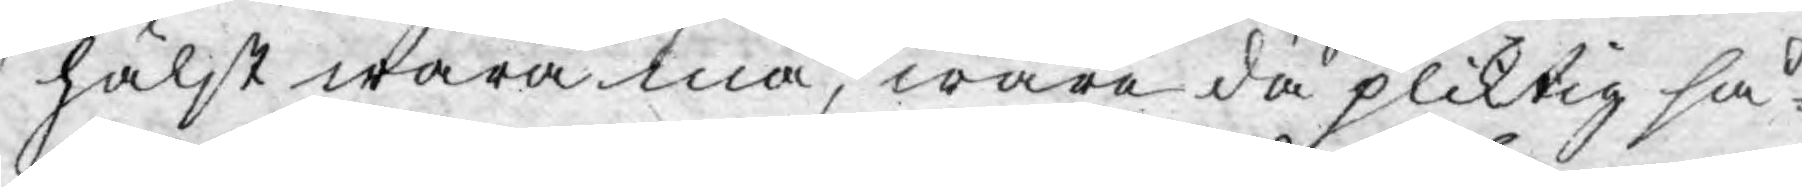hälst wara må, wara då pliktig så¬
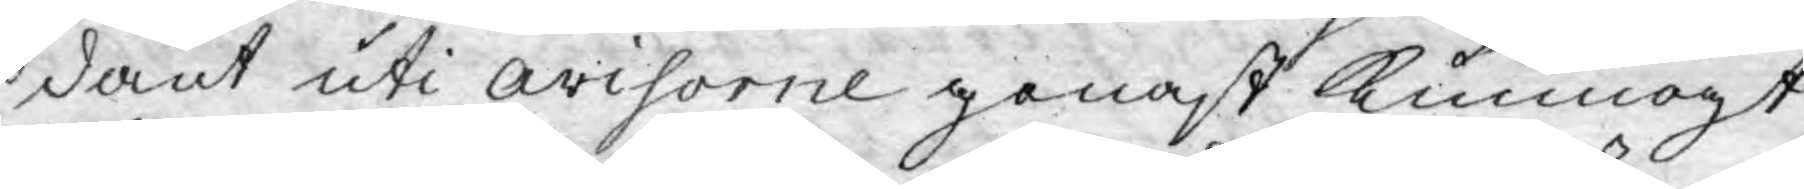dant uti avisorne genast kunnogt
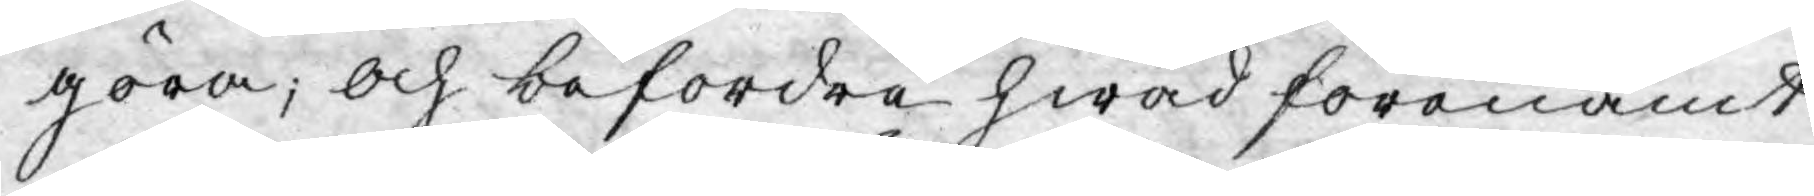göra; och befordra hwad förenämt
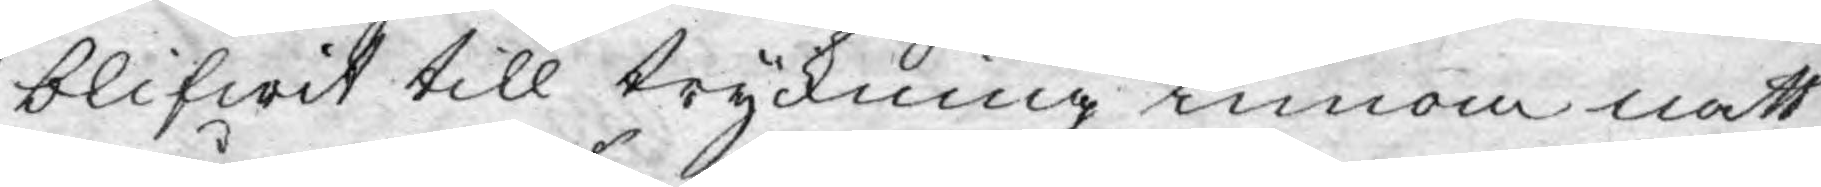blifwit till tryckning innom natt
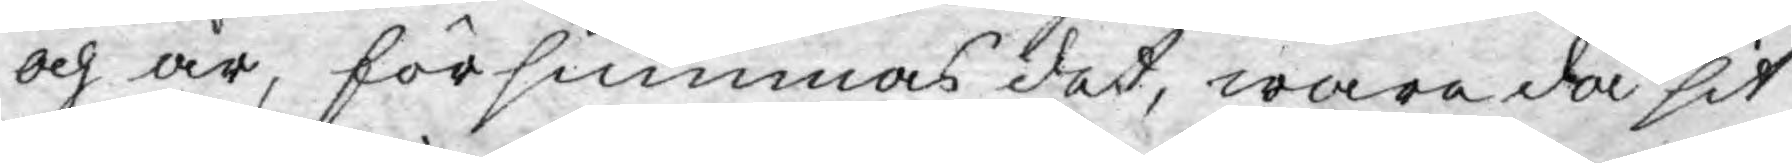och år, försummas det, wara då sit
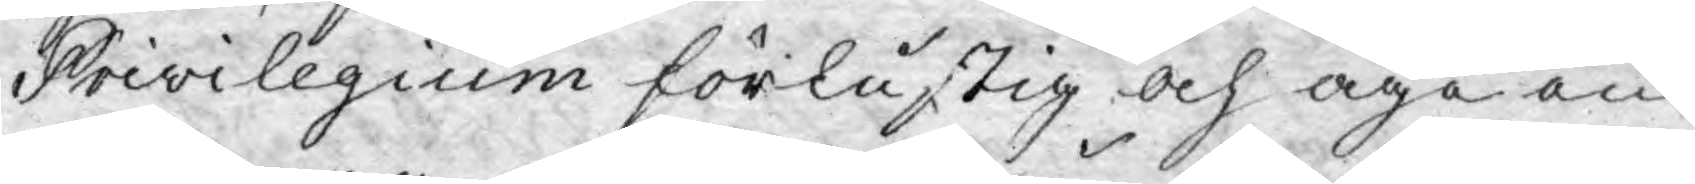Privilegium förlustig och äga en
